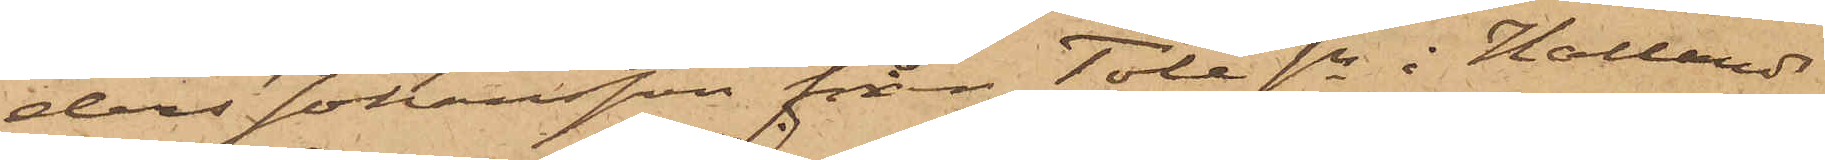ders Johansson från Töle sn i Hallands
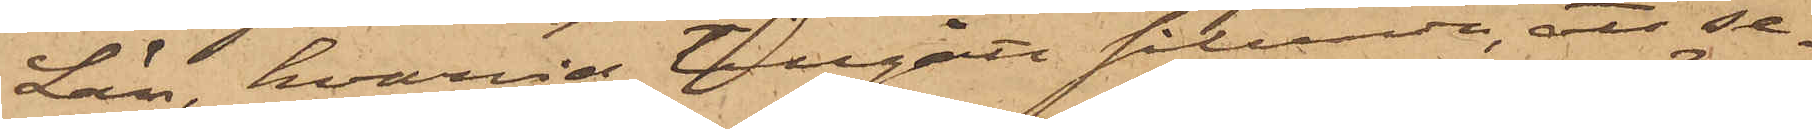Län, hvarvid tillgått sålunda, att se¬
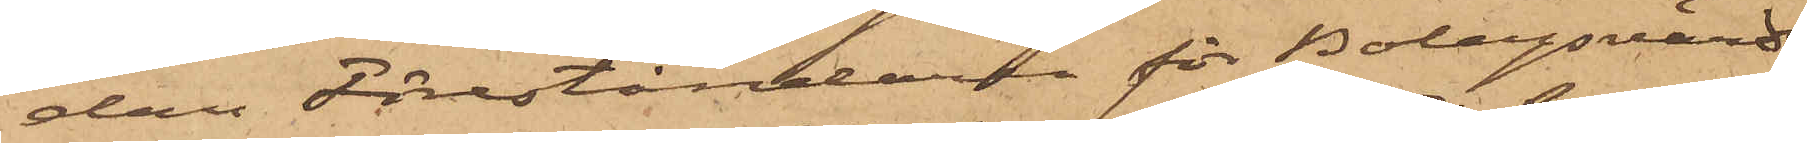dan Föreståndaren för Bolagsvärds¬
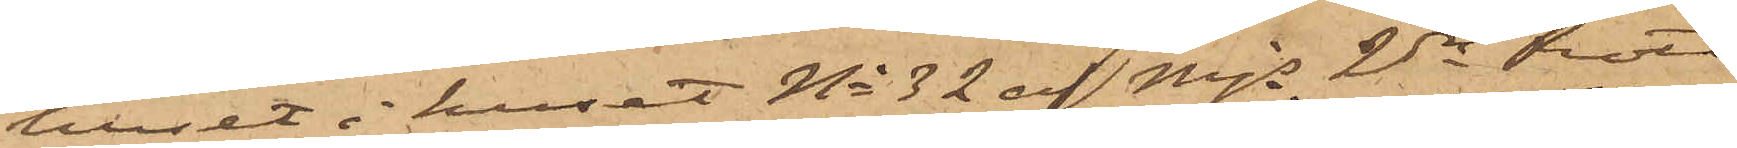huset i huset No 32 af Mjs 2dra Rote
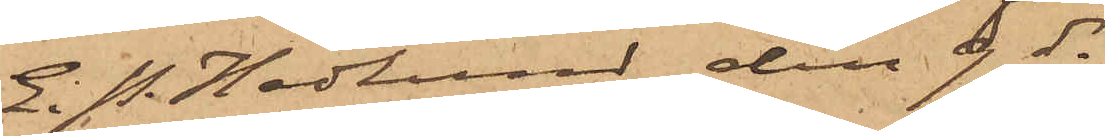E. P. Hedlund den 9 ds
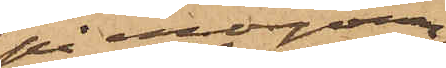på morgonen
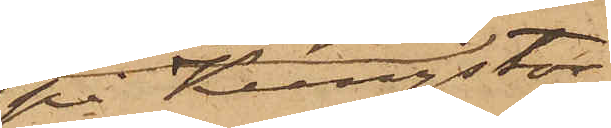på Kungstor¬
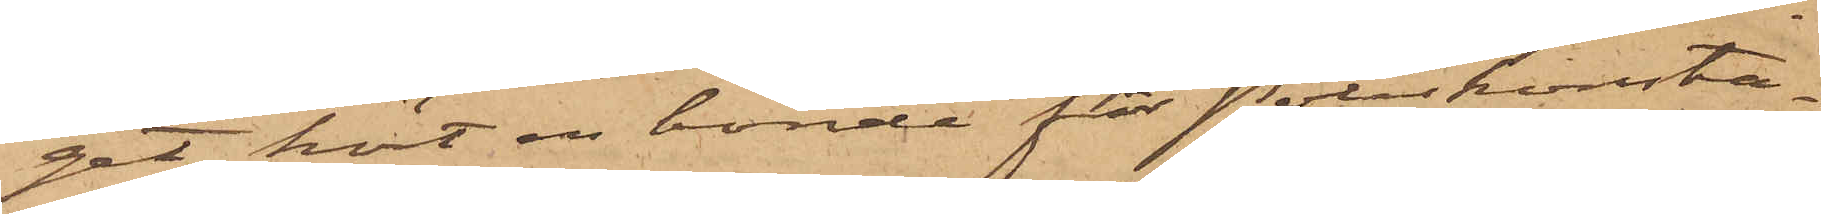get hört en bonde för Poliskonsta¬
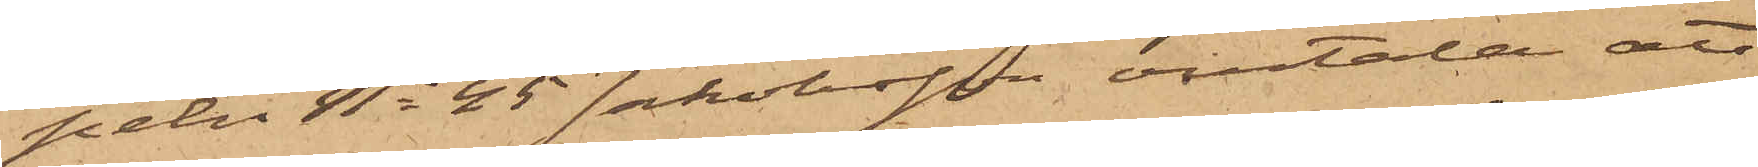peln No 45 Jakobsson omtala att
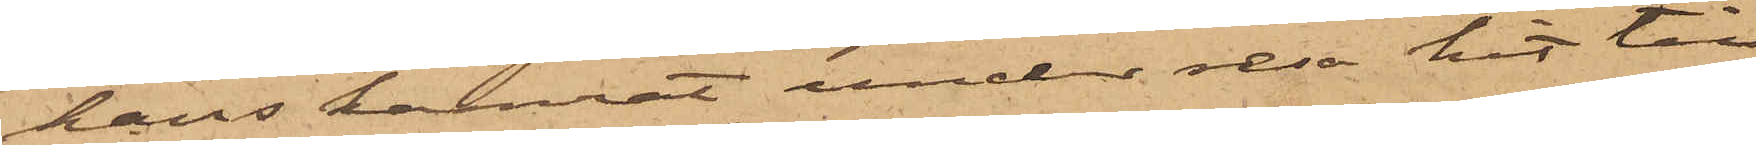hans kamrat under resa hit till
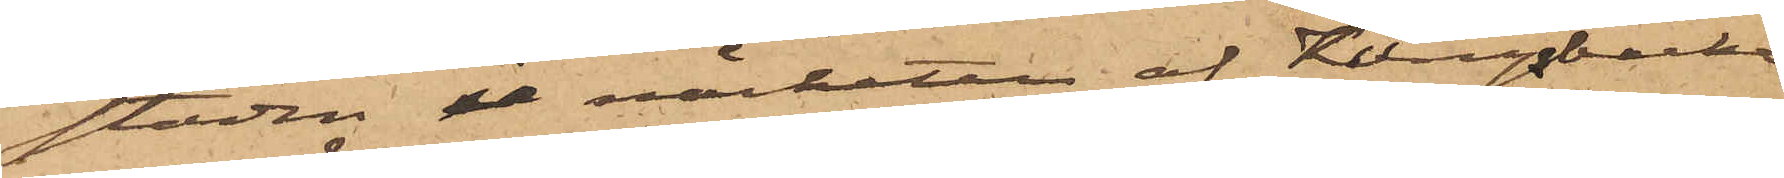staden i närheten af Kungsbacka
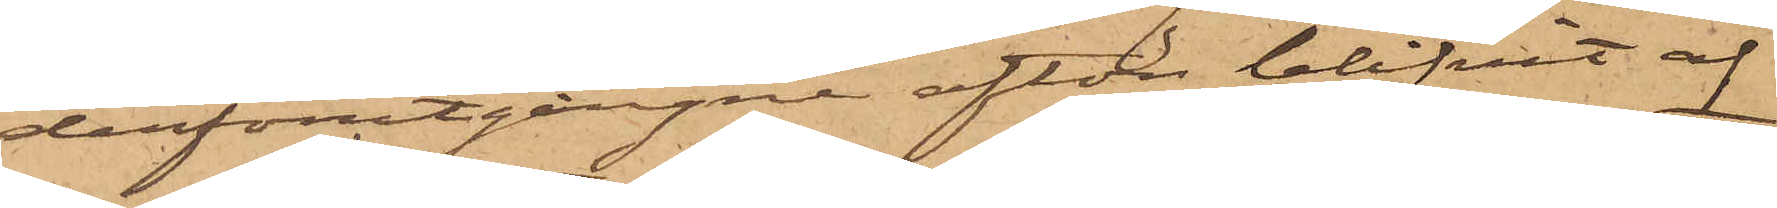derförutgångne afton blifvit af
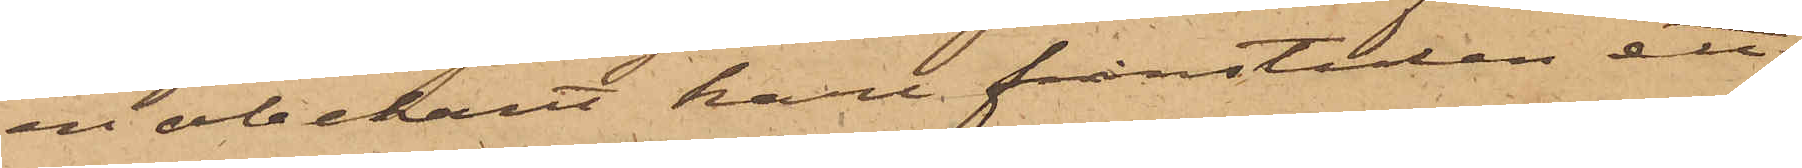en obekant karl frånstulen ett
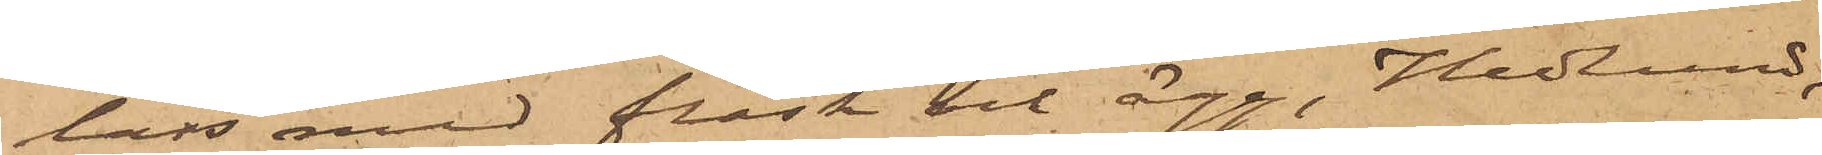lass med fläsk och ägg, Hedlund,
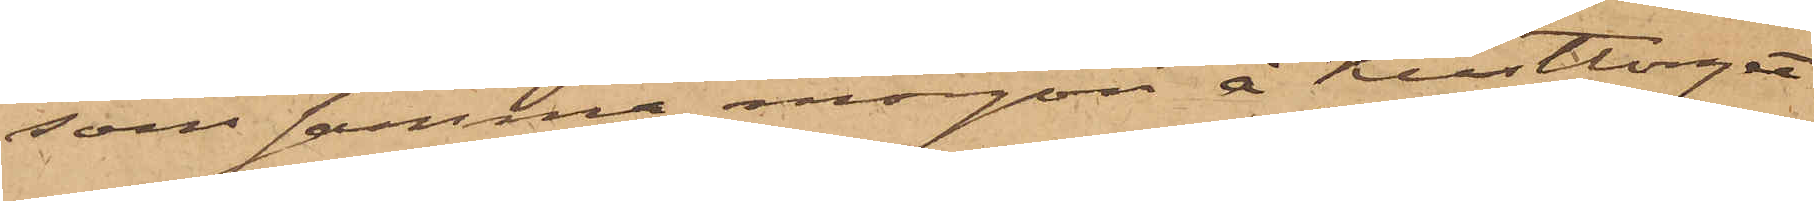som samma morgon å Kusttorget
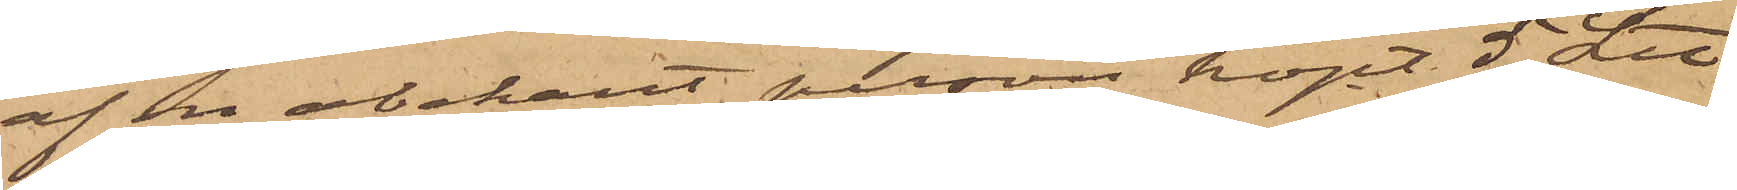af en obekant person köpt 5 L℔
